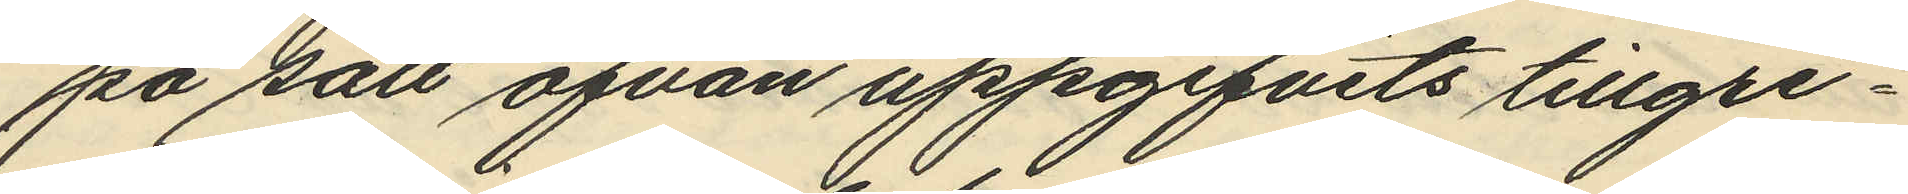på sätt ofvan uppgifvits tillgri¬
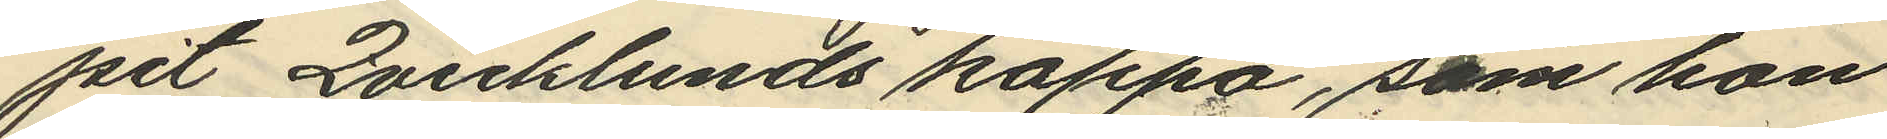pst Qvicklunds kappa, som hon
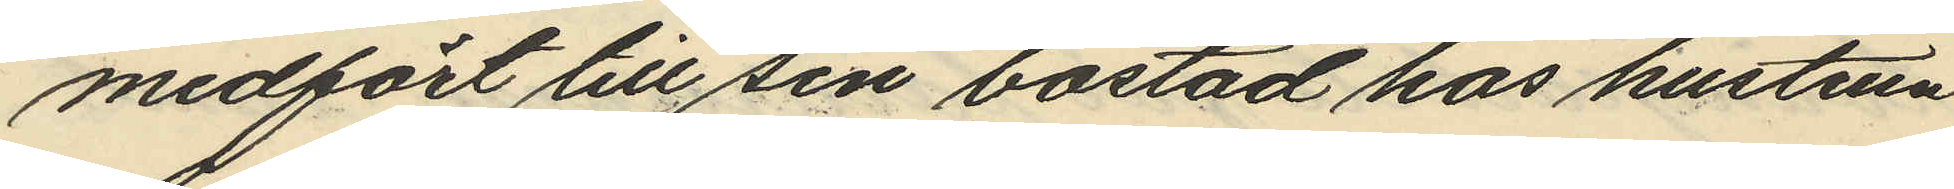medfört till sin bostad hos hustrun
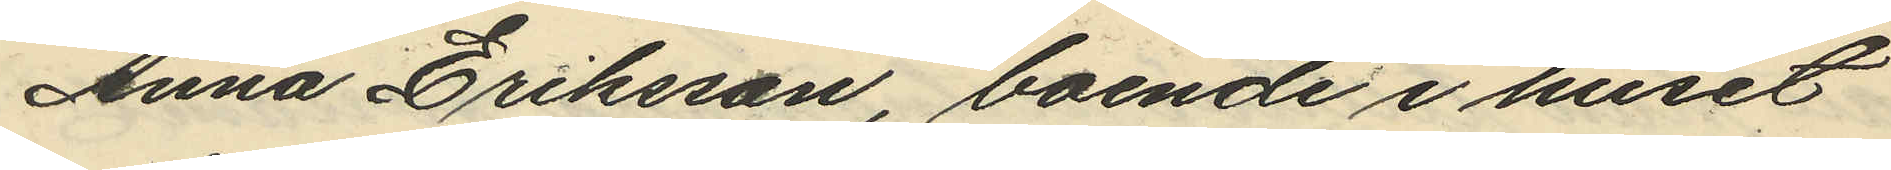Anna Eriksson, boende i huset
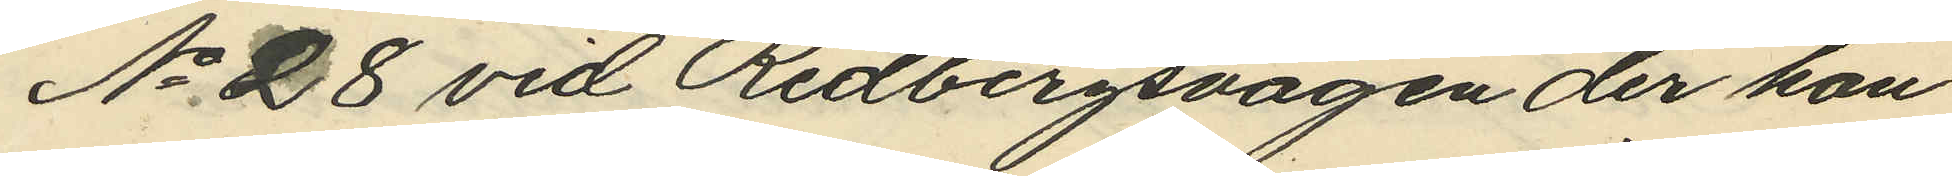No 28 vid Redbergsvägen der hon
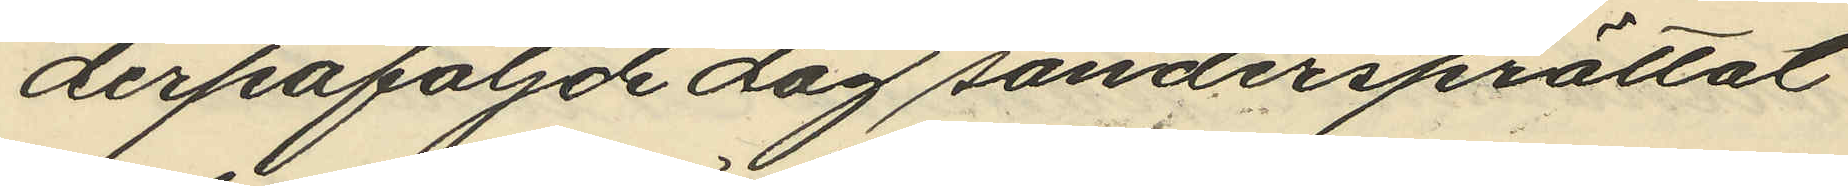derpåföljde dag söndersprättat
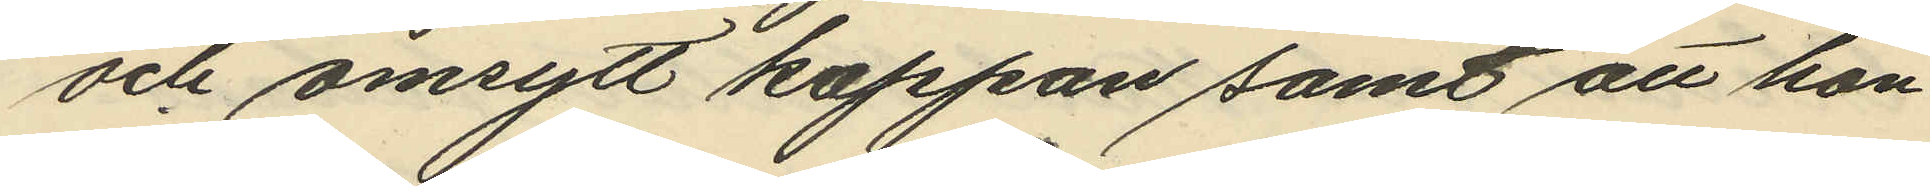och omsytt kappan samt att hon
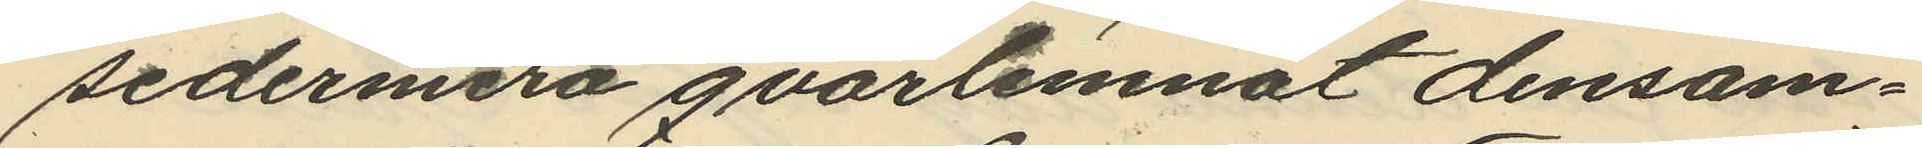sedermera qvarlemnat densam¬
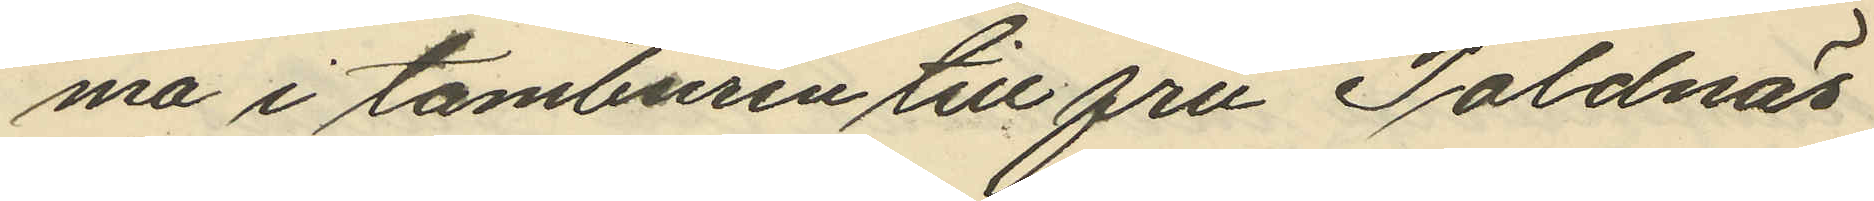ma i tamburen till fru Toldnäs
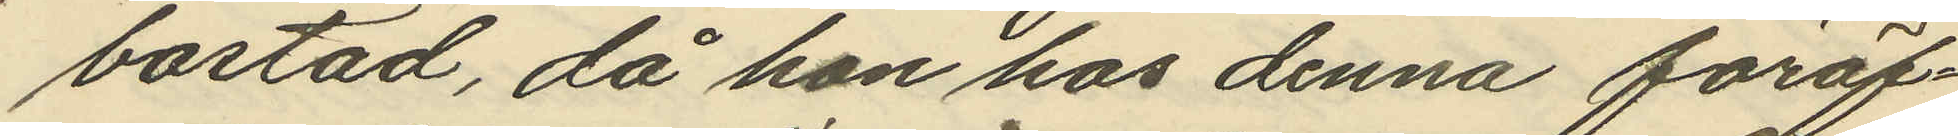bostad, då hon hos denna föröf¬
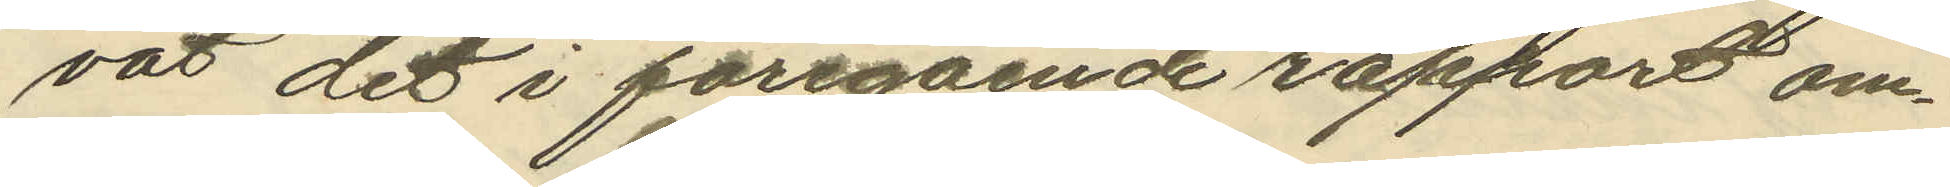vat det i föregående rapport om
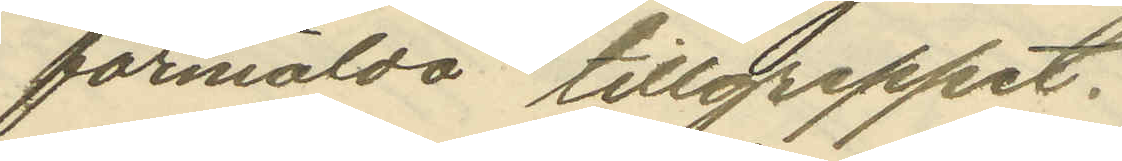förmälda tillgreppet.
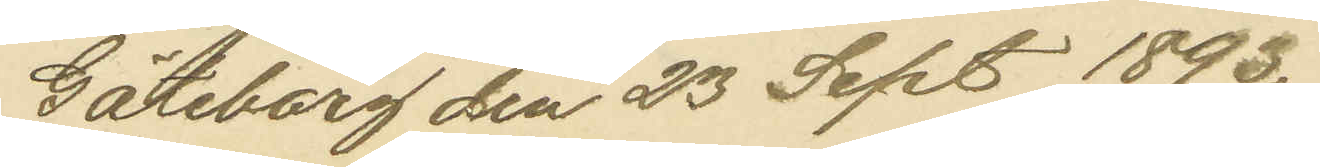Göteborg den 23 Sept. 1893.
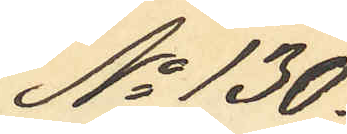No 130.
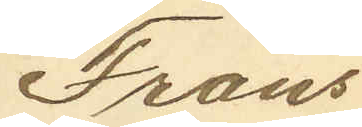Frans
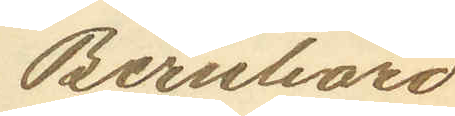Bernhard
